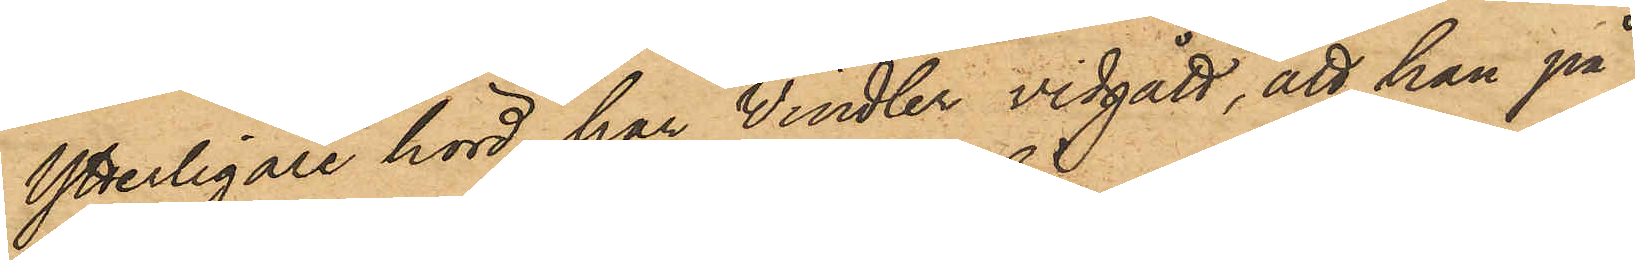Ytterligare hörd har Windler vidgått, att han på
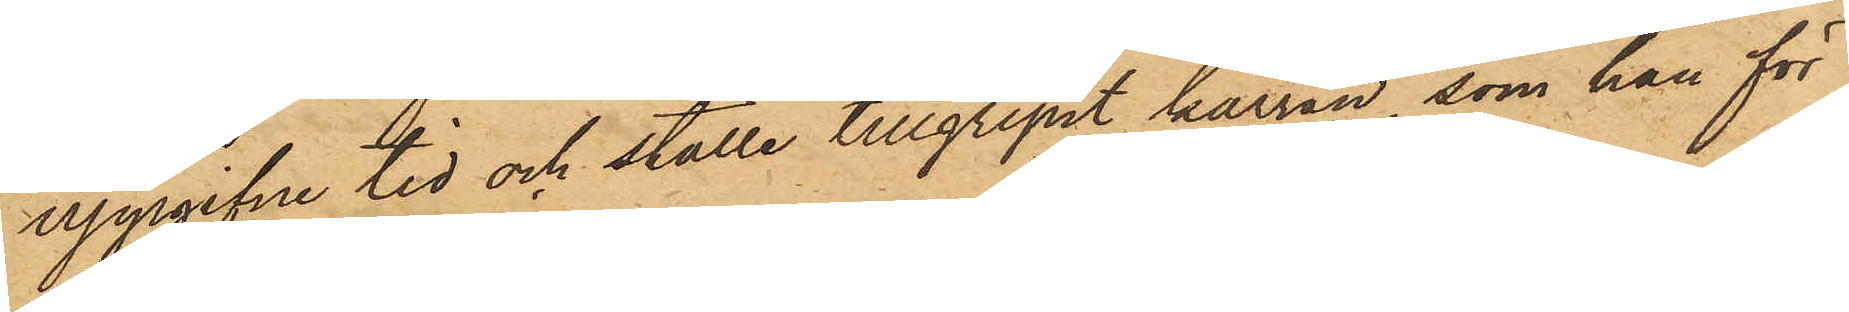uppgifne tid och ställe tillgripit kärran, som han för
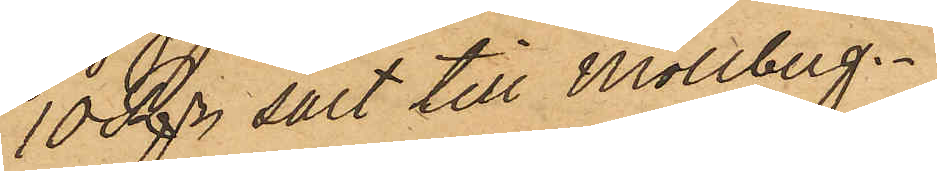10 Rdr sålt till Mollberg.
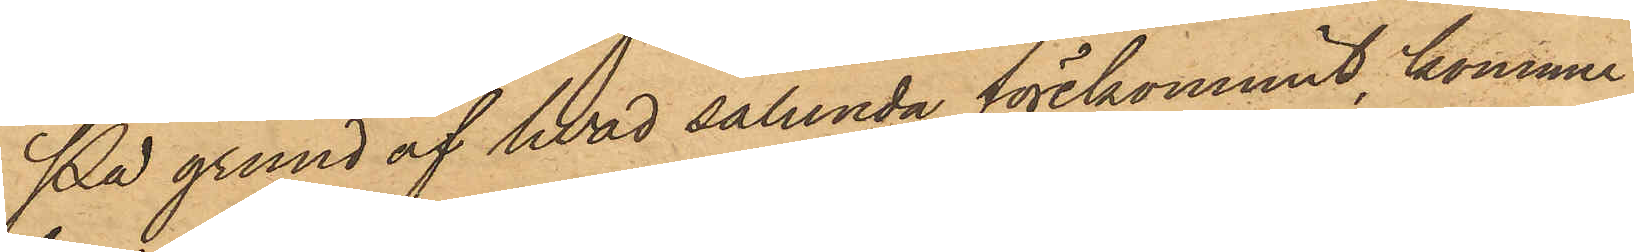På grund af hvad sålunda förekommit, kommer
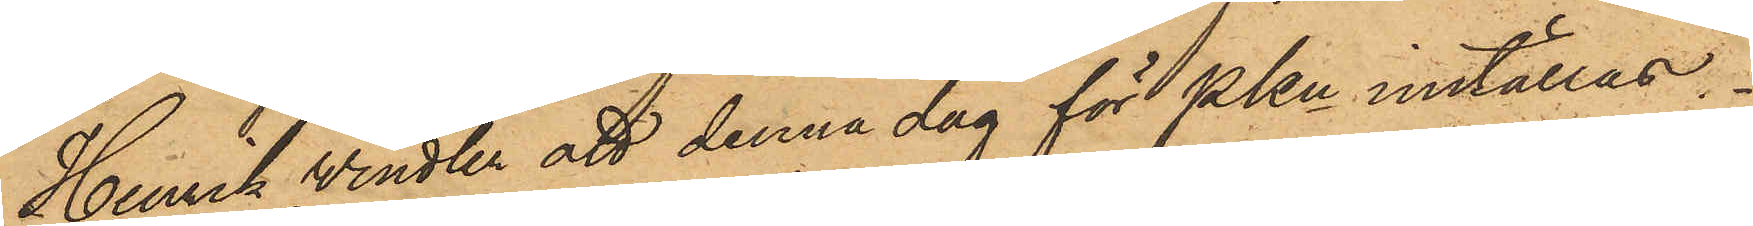Henrik Windler att denna dag för PKn inställas.
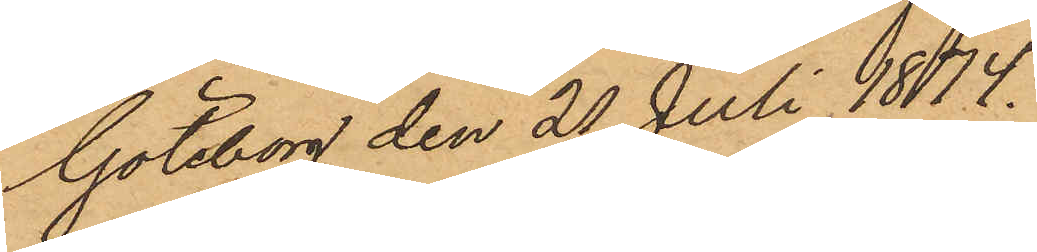Göteborg den 20 Juli 1874.
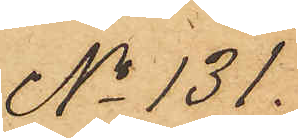No 131.
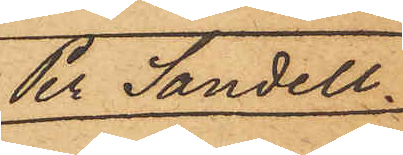Per Sandell.
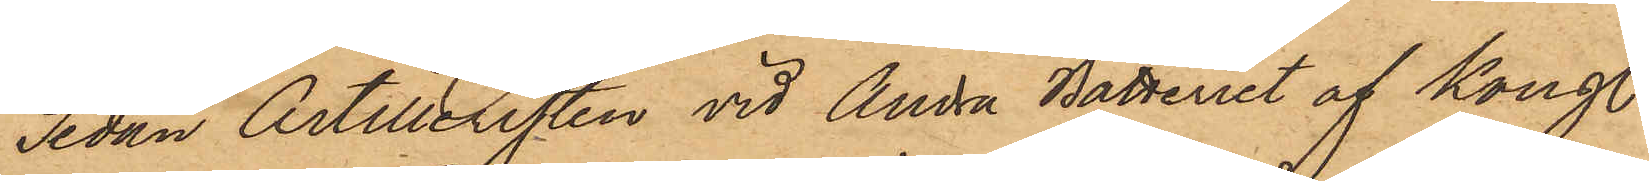Sedan Artilleristen vid Andra Batteriet af Kongl.
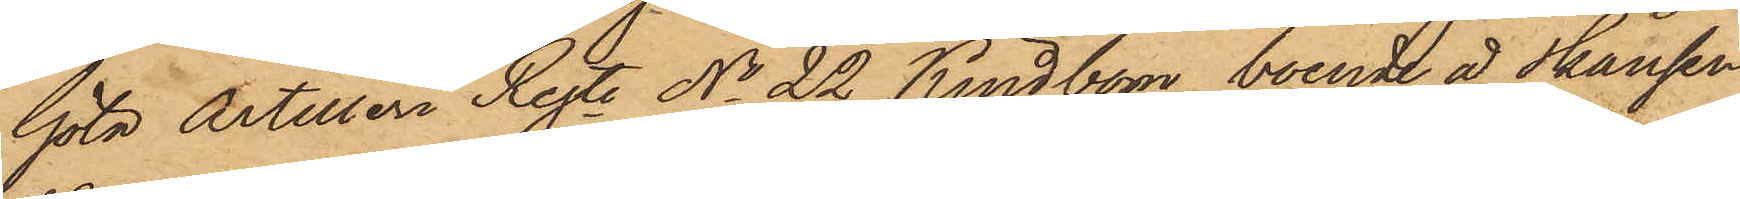Göta Artilleri Regte No 22 Kindbom, boende å Skansen
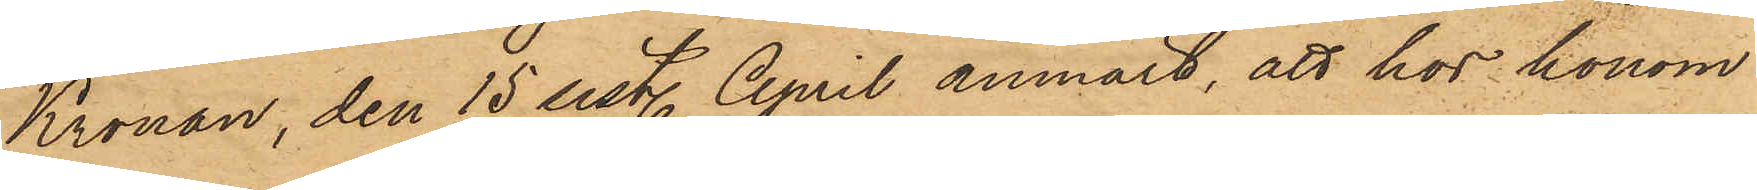Kronan, den 15 sist. April anmält, att hos honom
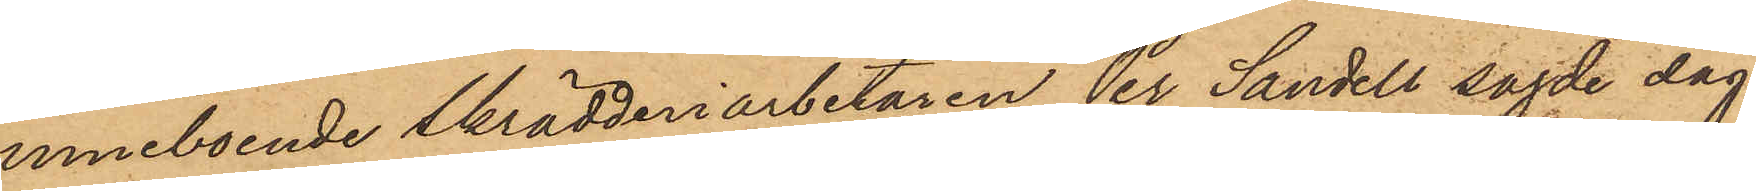inneboende skrädderiarbetaren Per Sandell sagde dag
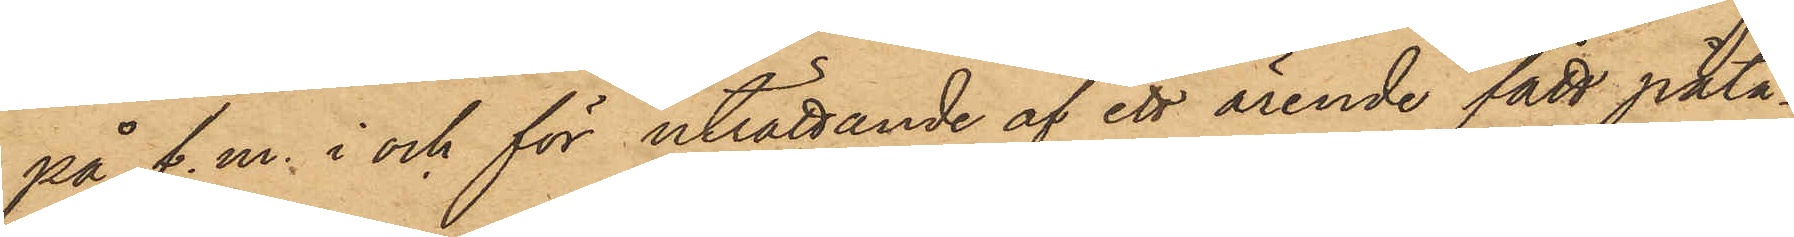på f.m. i och för uträttande af ett ärende fått påta¬
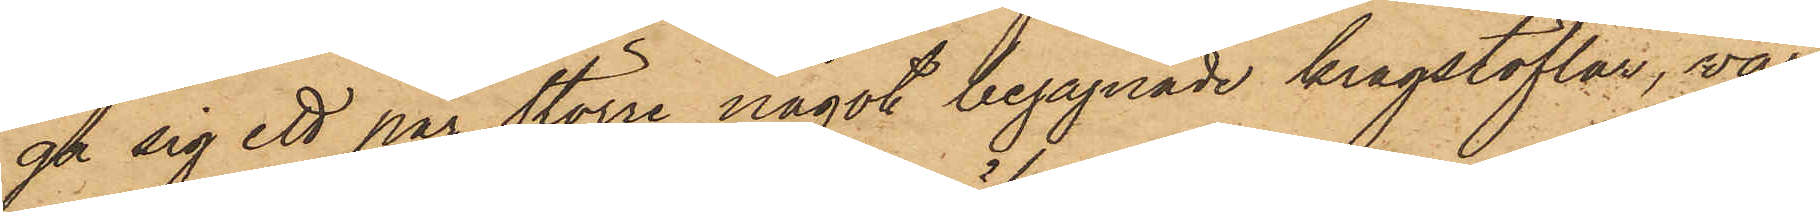ga sig ett par större något begagnade kragstöflar, vär¬
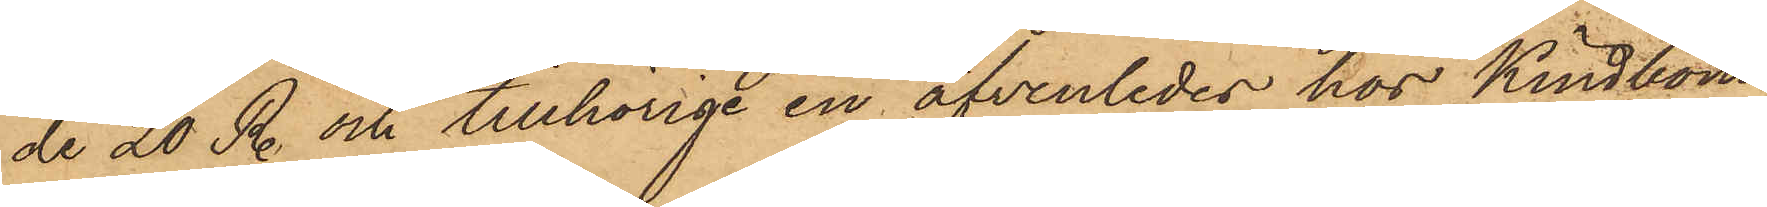de 20 Rdr och tillhörige en äfvenledes hos Kindbom
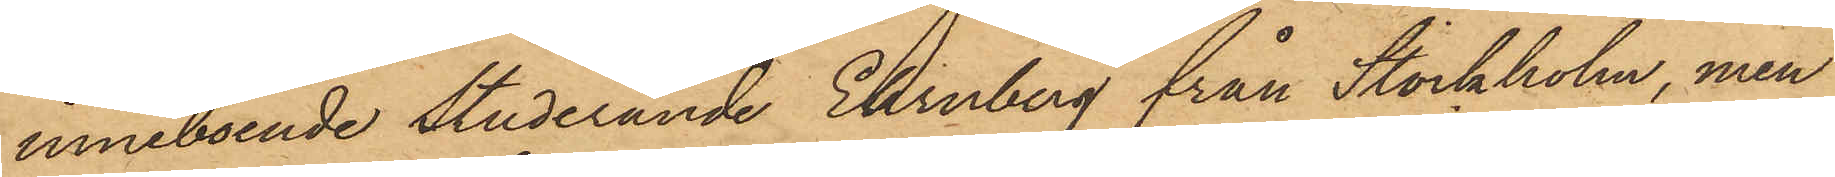inneboende studerande Ehrnberg från Stockholm, men
